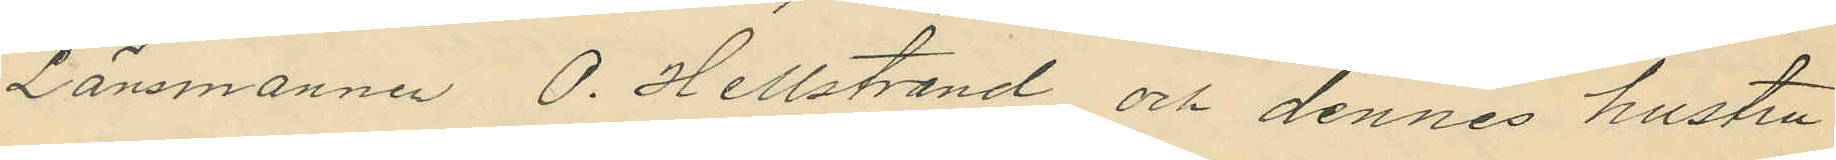Länsmannen O. Hellstrand och dennes hustru
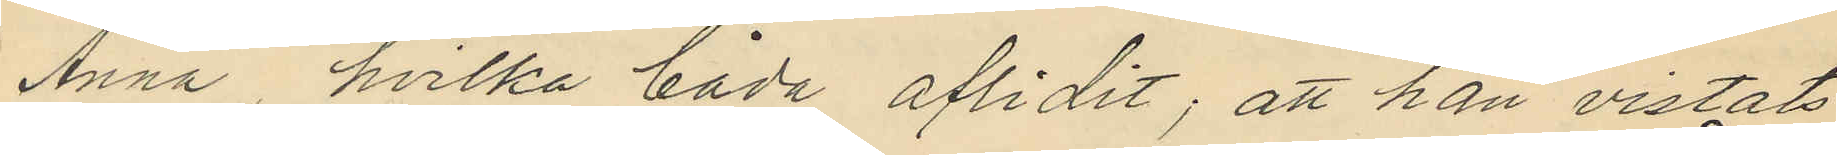Anna, hvilka båda aflidit; att han vistats
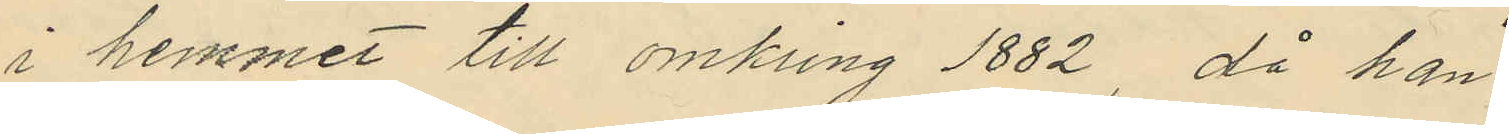i hemmet till omkring 1882, då han
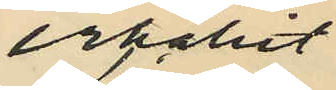erhållit
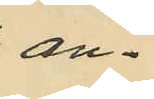an¬
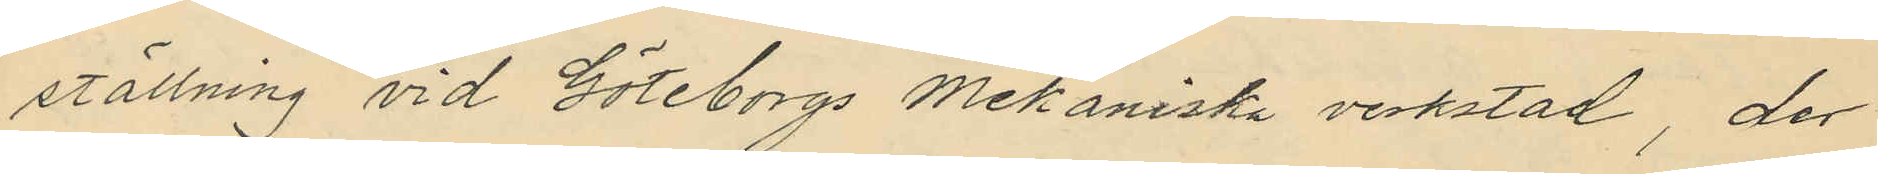ställning vid Göteborgs Mekaniska verkstad, der
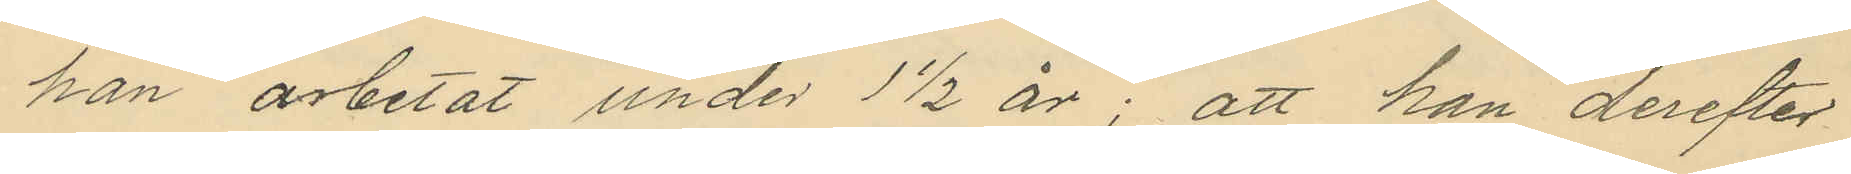han arbetat under 1½ år; att han derefter
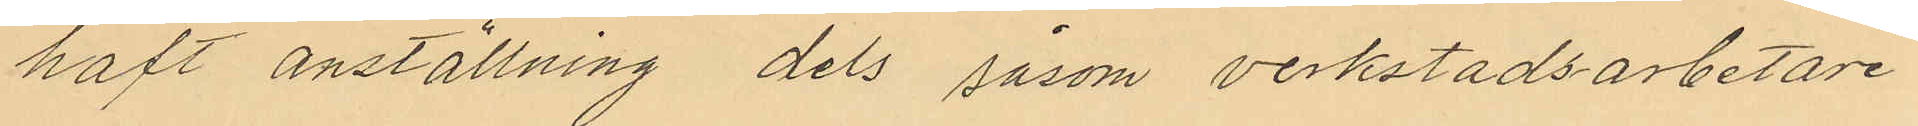haft anställning dels såsom verkstadsarbetare
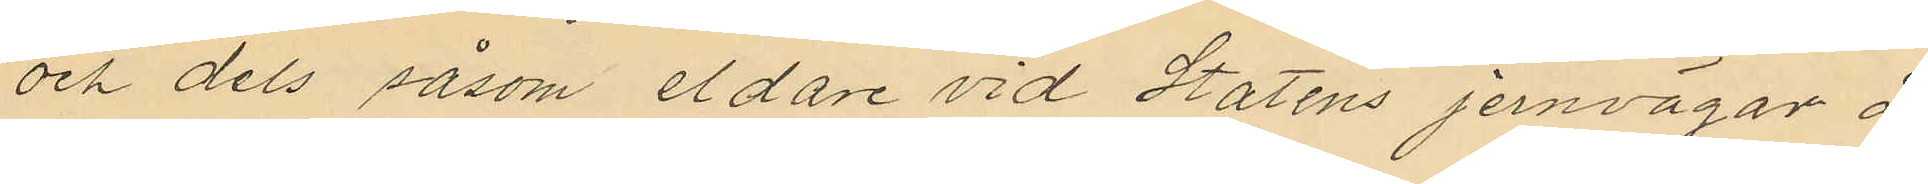och dels såsom eldare vid Statens jernvägar å
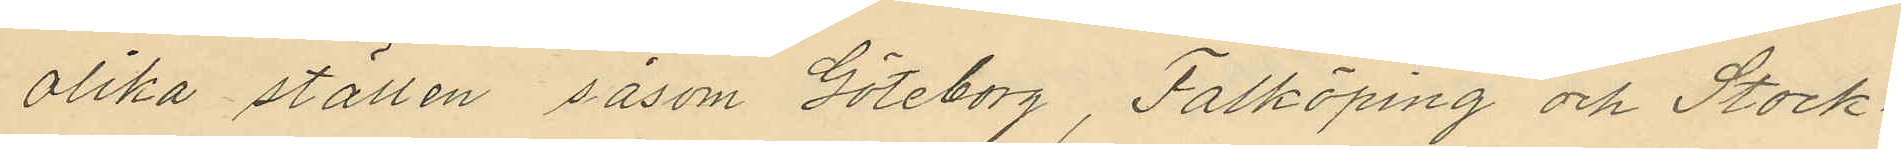olika ställen såsom Göteborg, Falköping och Stock¬
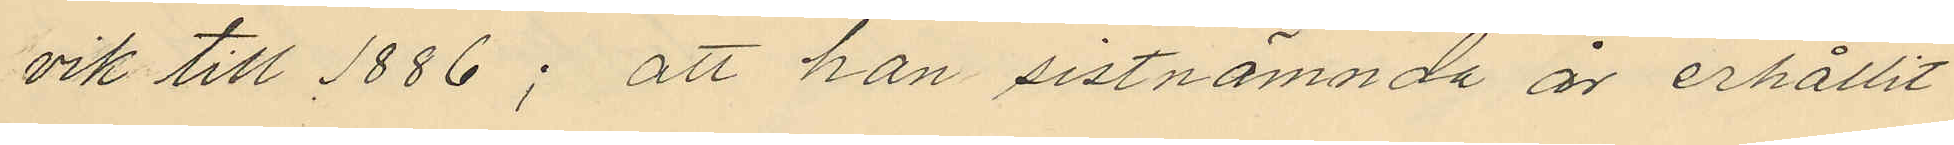vik till 1886; att han sistnämnda år erhållit
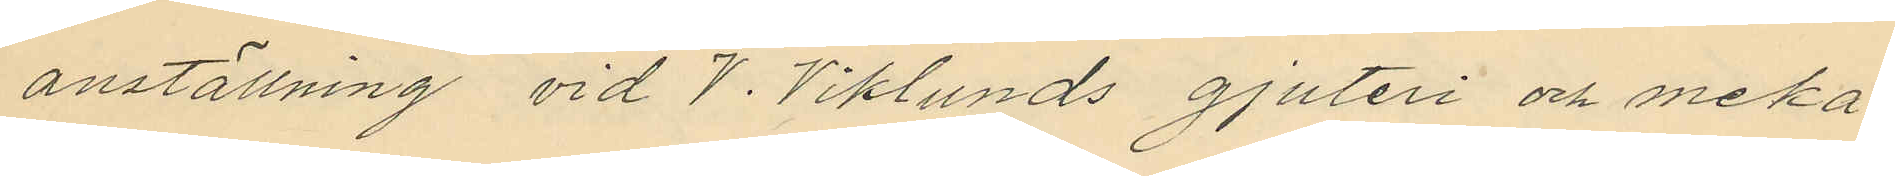anställning vid V. Viklunds gjuteri och meka¬
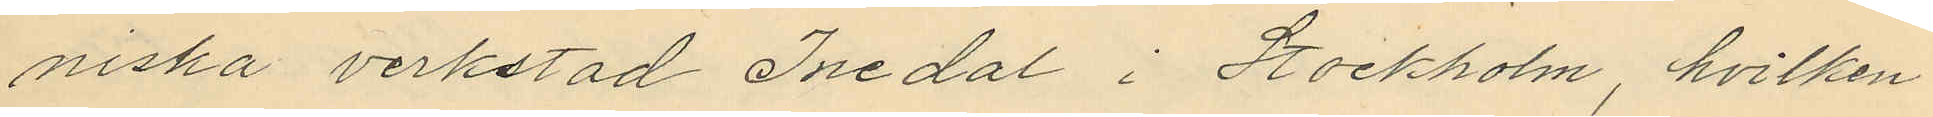niska verkstad Inedal i Stockholm, hvilken
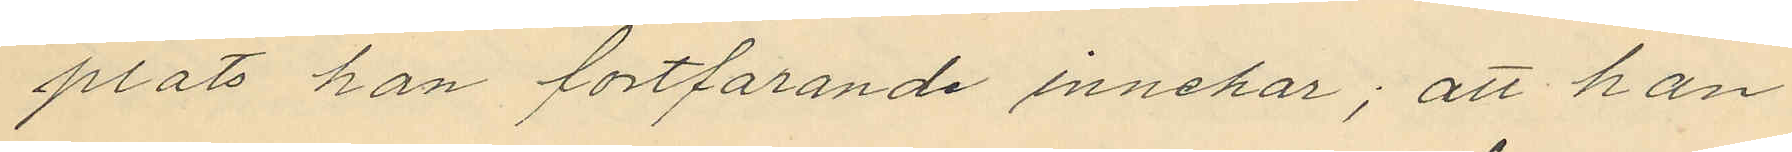plats han fortfarande innehar; att han
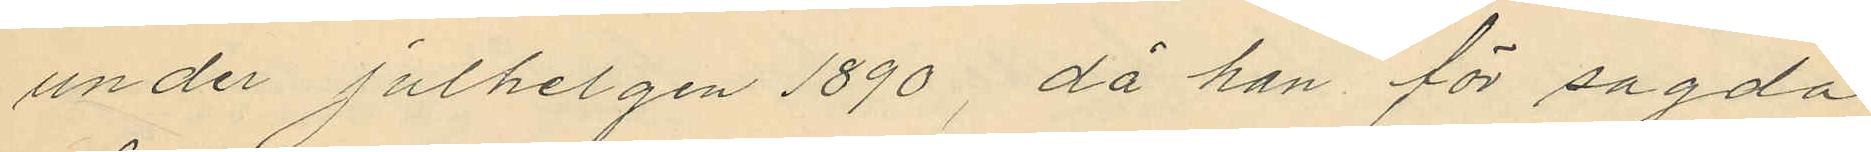under Julhelgen 1890, då han för sagda
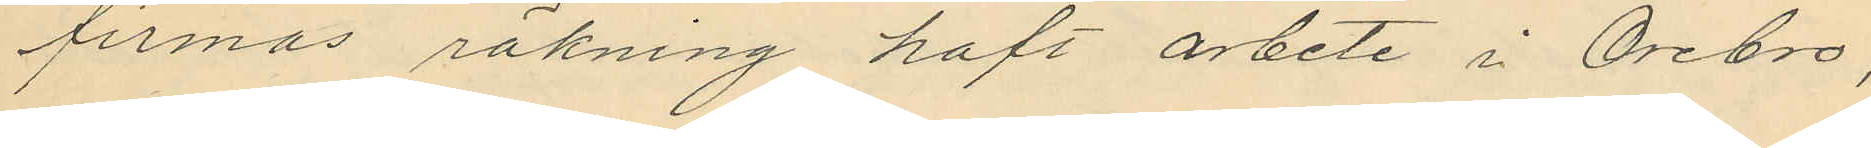firmas räkning haft arbete i Örebro,
